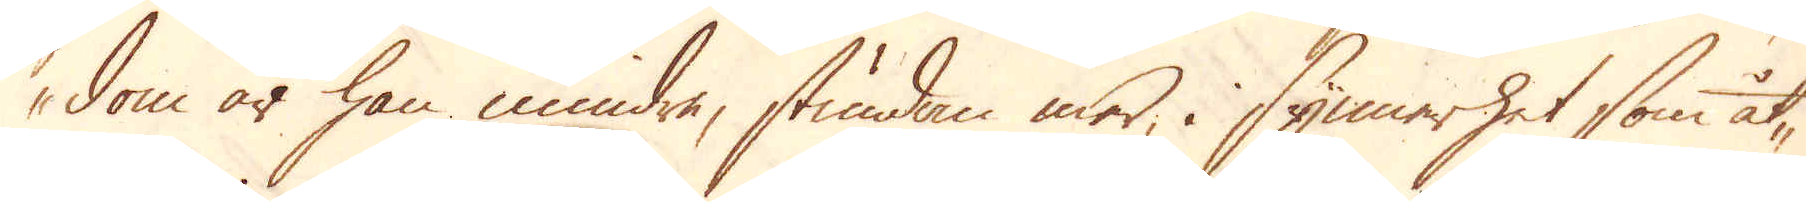dom är han mindre, stundom mer, i synnerhet som åt-
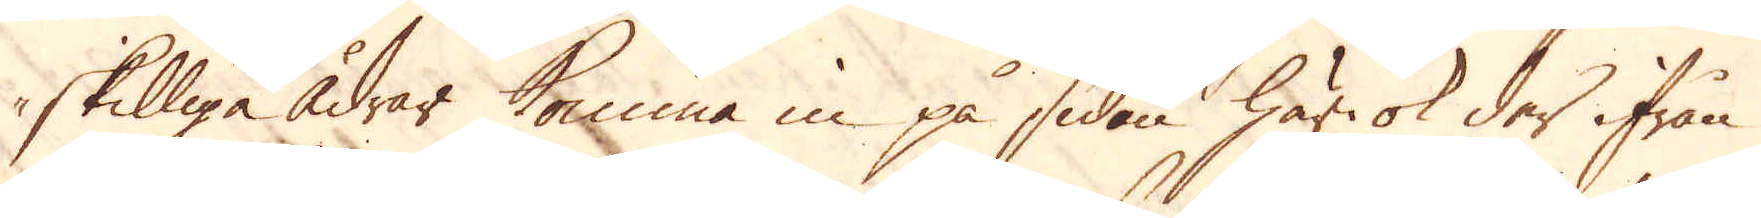skilliga ådrar komma in på sidan här ok der ifrån
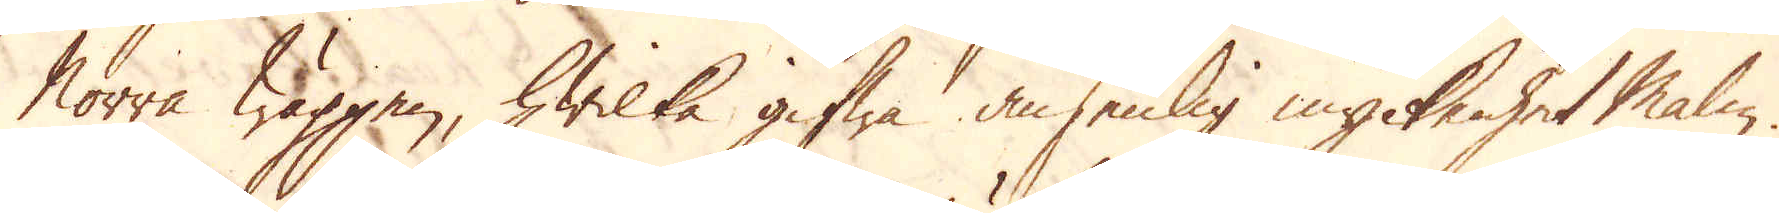Norra wäggen, hwilka gifwa ansenlig myckenhet Malm.
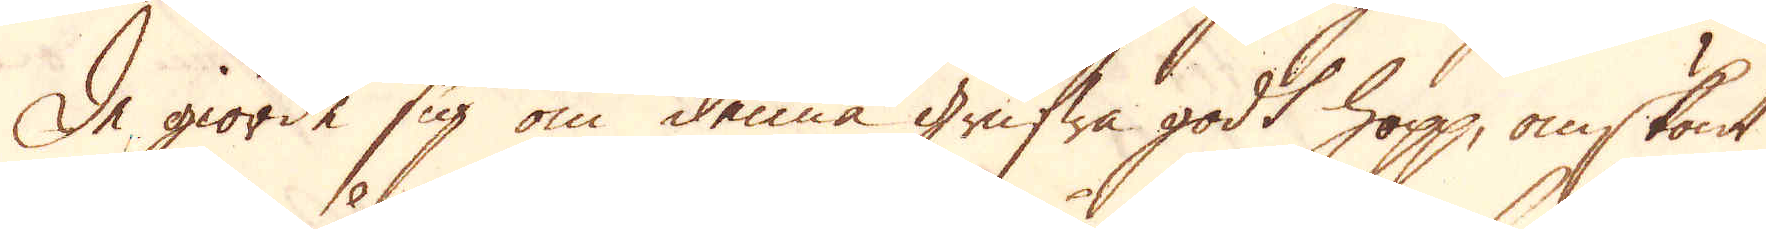De giorde sig om denna grufwa godt hopp, omskönt
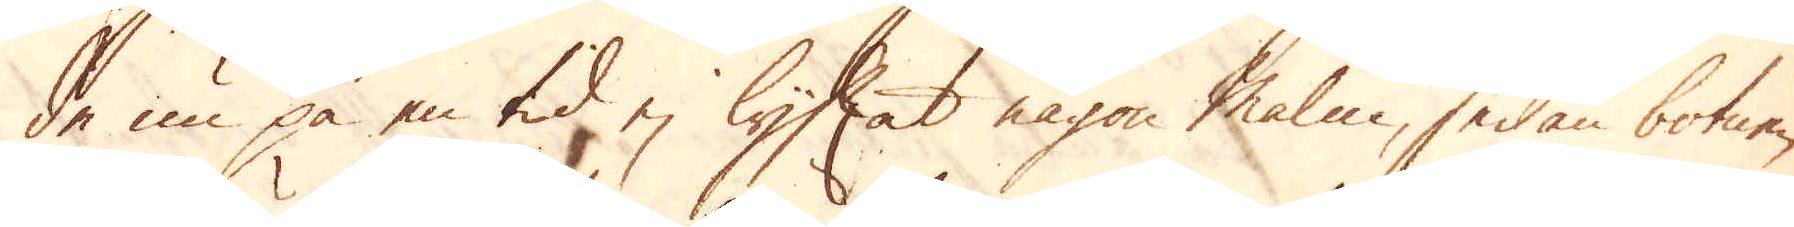de nu på en tid, ej lyftat någon malm, sedan botnen
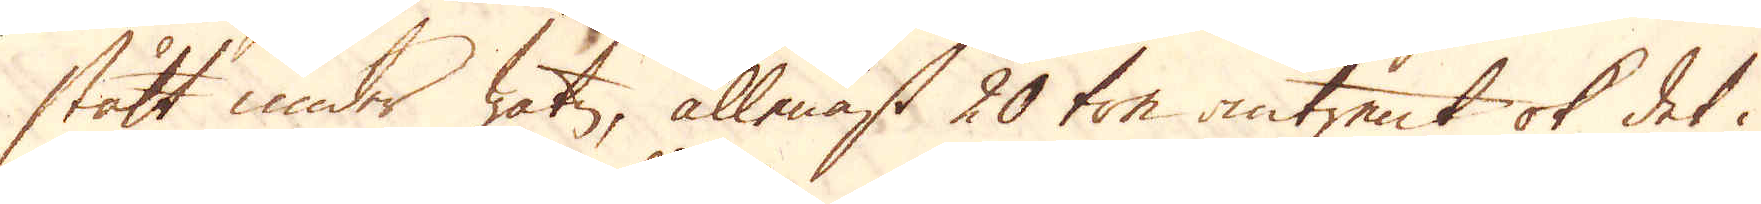stått under watn, allenast 20 ton omtrent ok det i
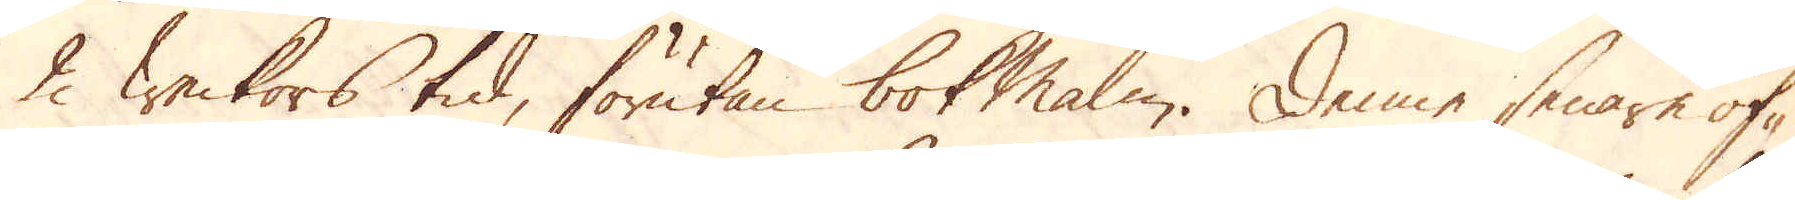2 weckors tid, förutan bok Malm. Denne senare öf-
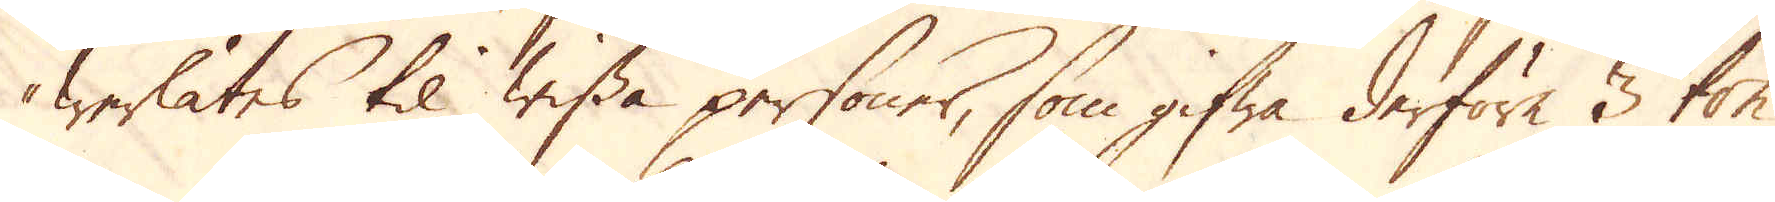werlåtes til wissa personer, som gifwa derföre 3 ton
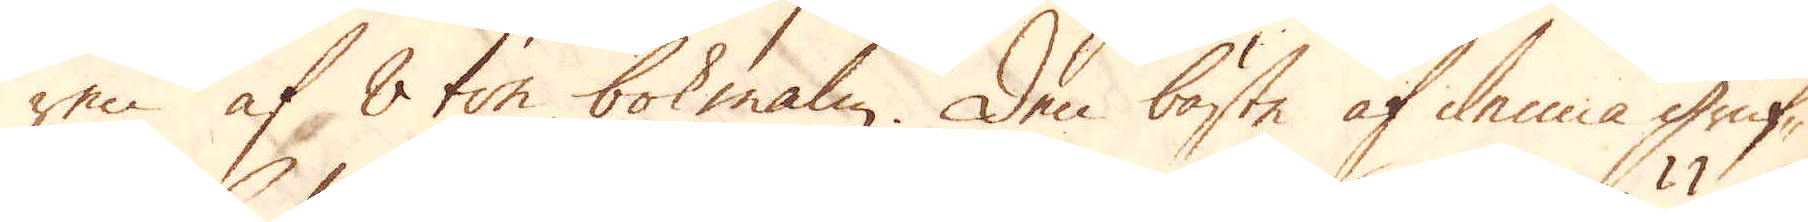ren af 8 ton bokmalm. Den bästa af denna gruf-
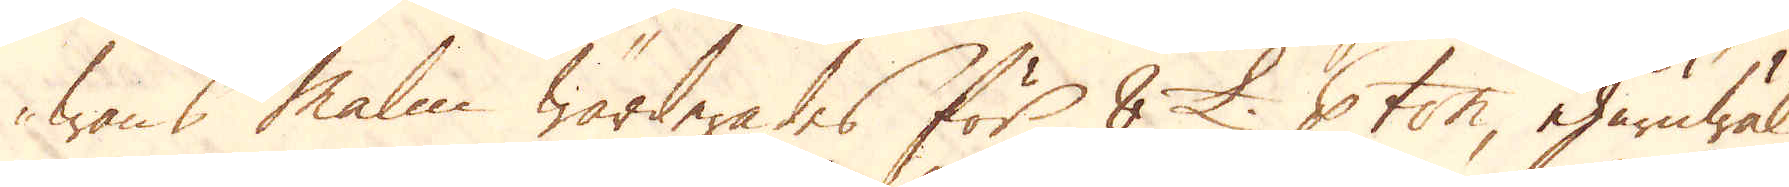wans Malm wärderades för 8 £. p ton, ehuruwäl
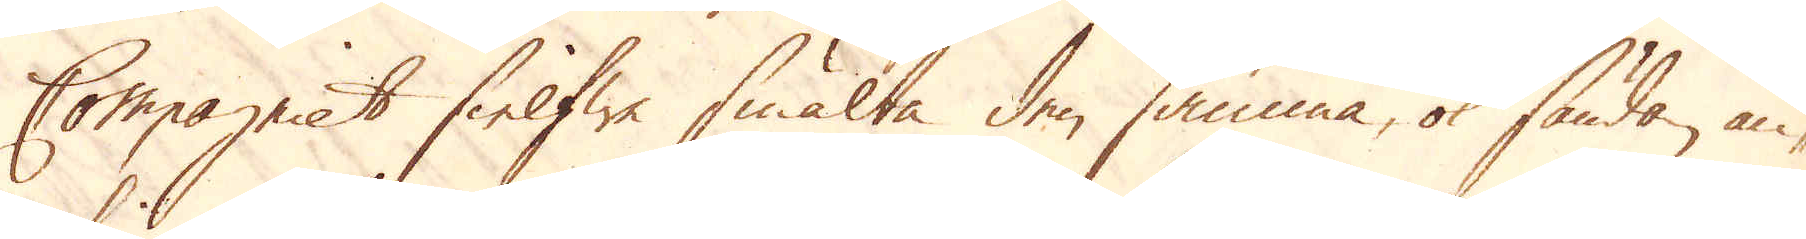Compagniet sielfwe smälta den samma, ok sända, an-
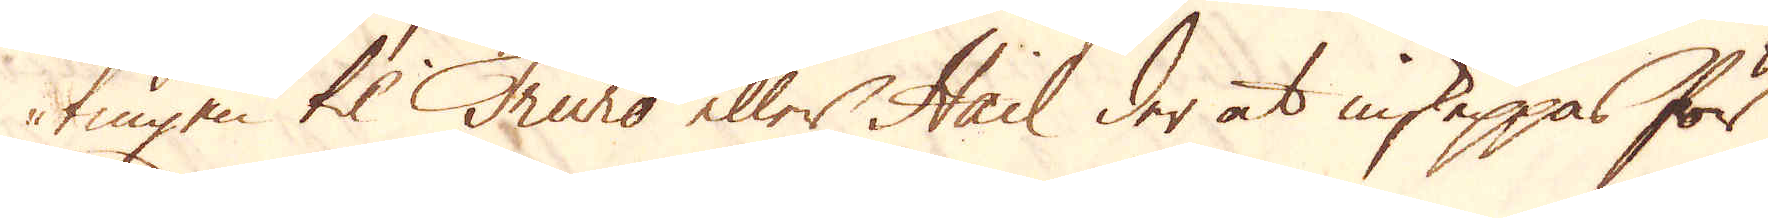tingen til Truro eller Hail der at inskeppas för
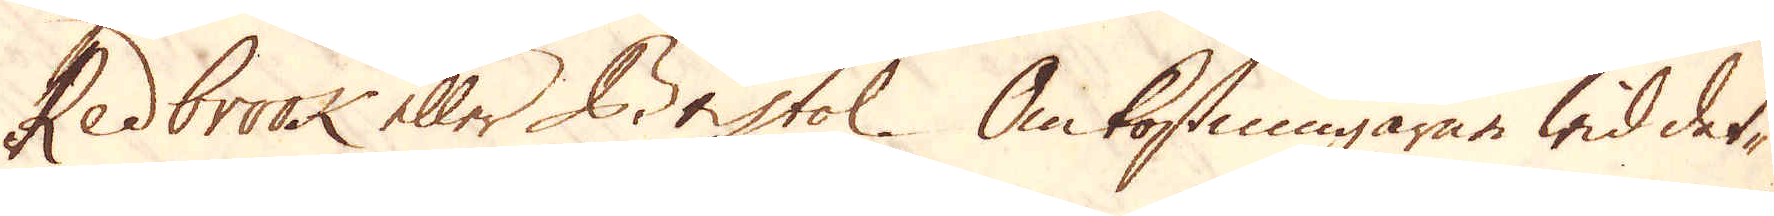Redbrook eller Bristol. Omkostningarne wid dett-
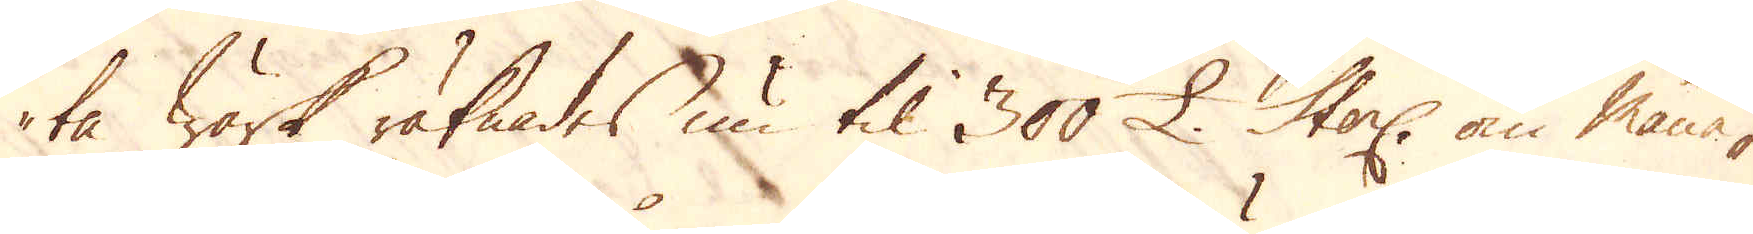ta Wärk räknades nu til 300 £. Sterl: om måna-
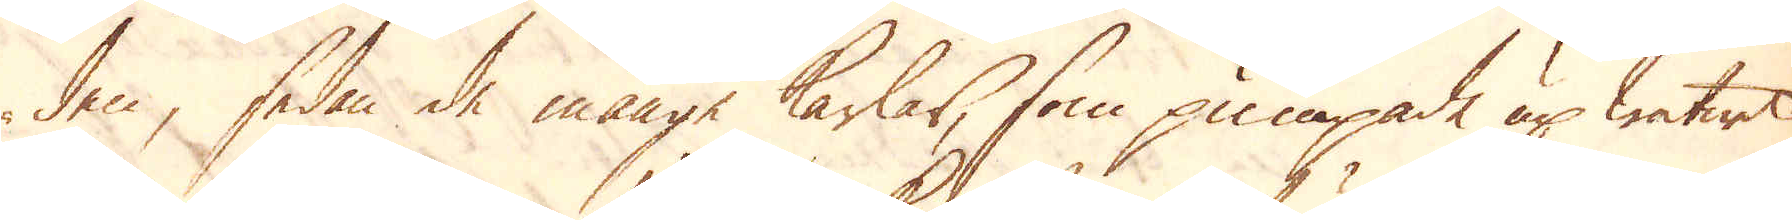den, sedan de månge karlar, som pumpade up watnet
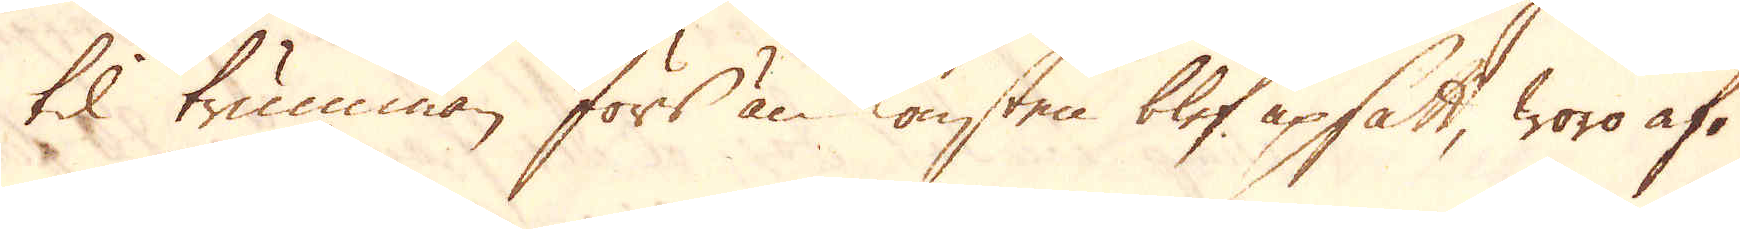til trumman förs än konsten blef upsatt, woro af-
